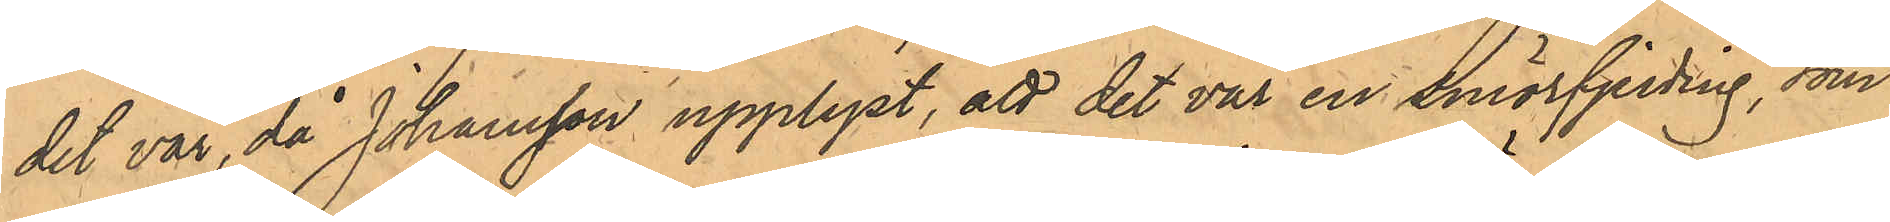det var, då Johansson upplyst, att det var en smörfjerding, som
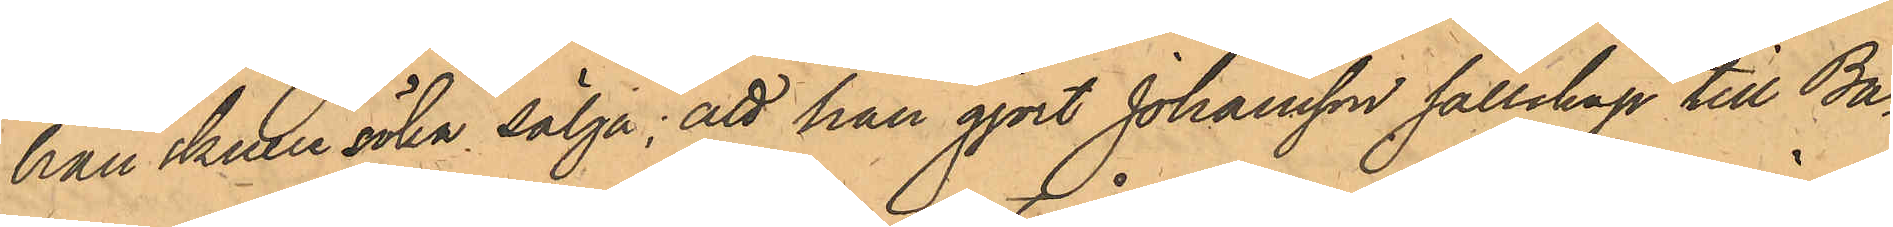han skulle söka sälja; att han gjort Johansson sällskap till Ba¬
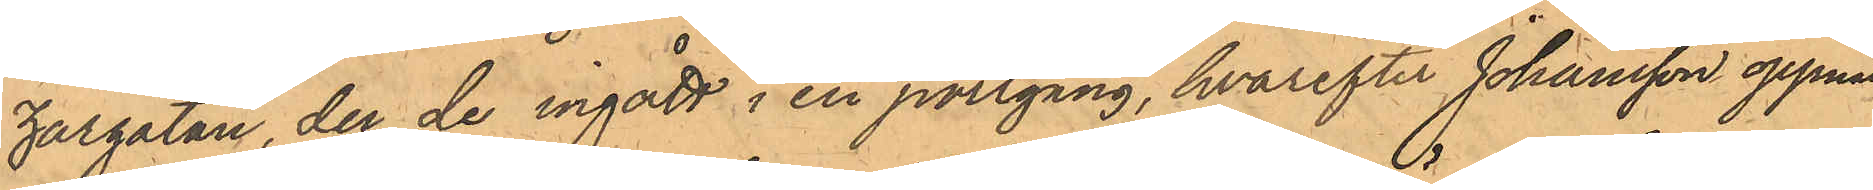zargatan, der de ingått i en portgång, hvarefter Johansson öppnat
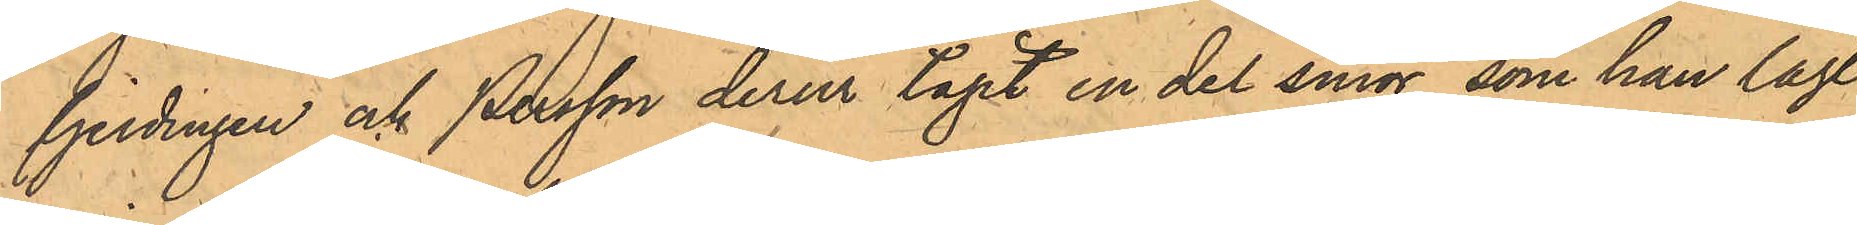fjerdingen och Persson derur tagit en del smör, som han lagt
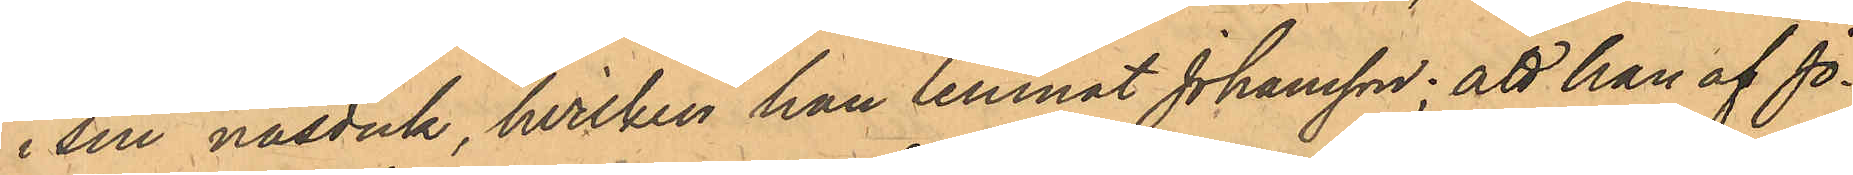i sin näsduk, hvilken han lemnat Johansson; att han af Jo¬
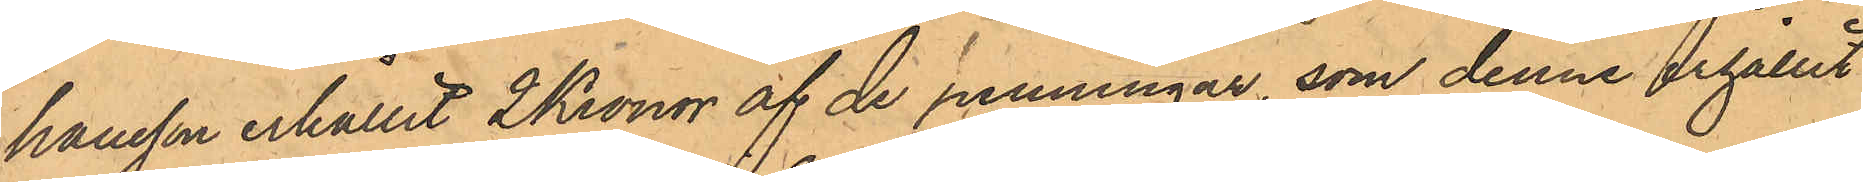hansson erhållit 2 Kronor af de penningar, som denne erhållit
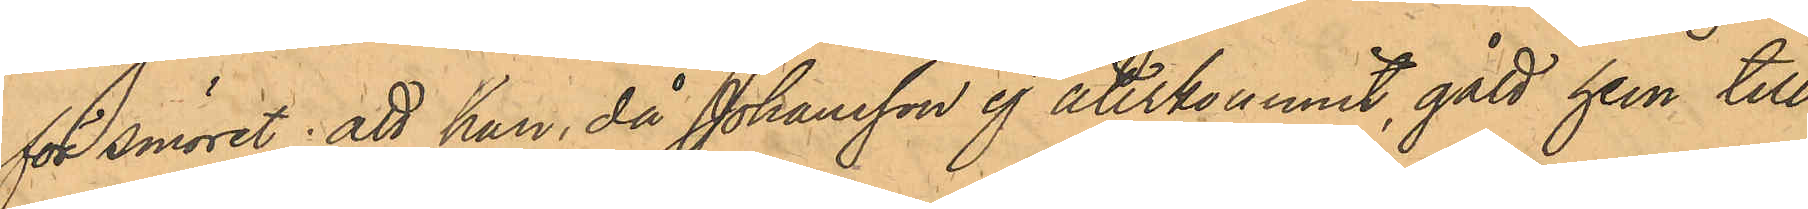för smöret; att han, då Johansson ej återkommit, gått hem till
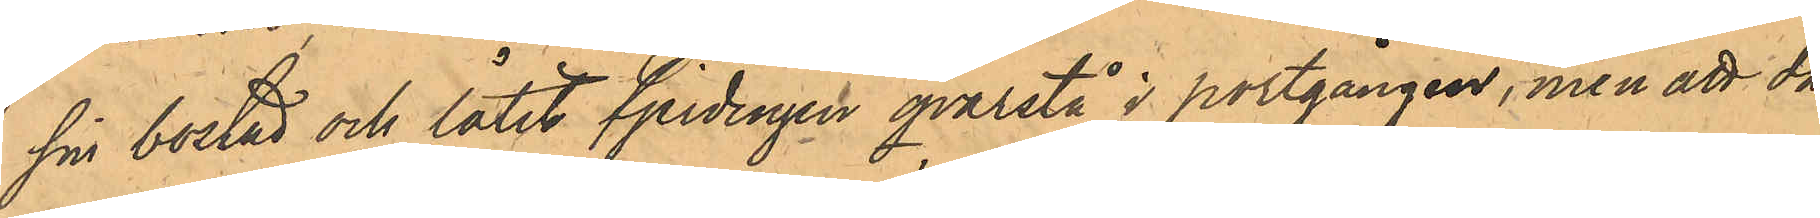sin bostad och låtit fjerdingen qvarstå i portgången, men att då
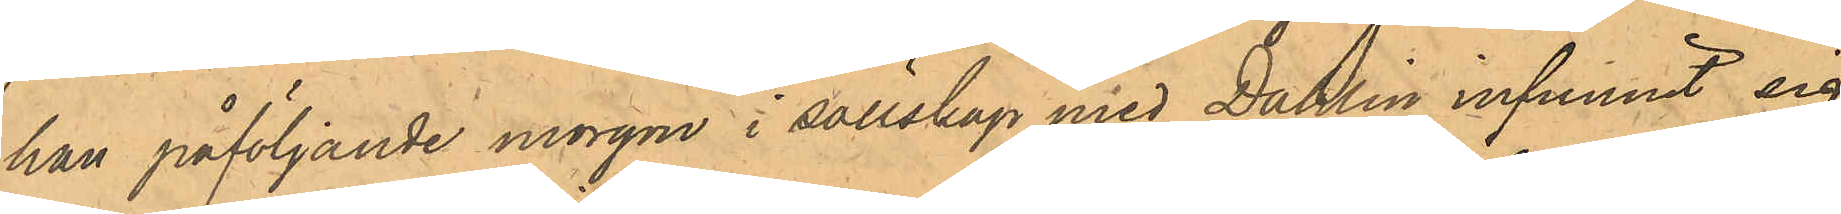han påföljande morgon i sällskap med Dahlin infunnit sig
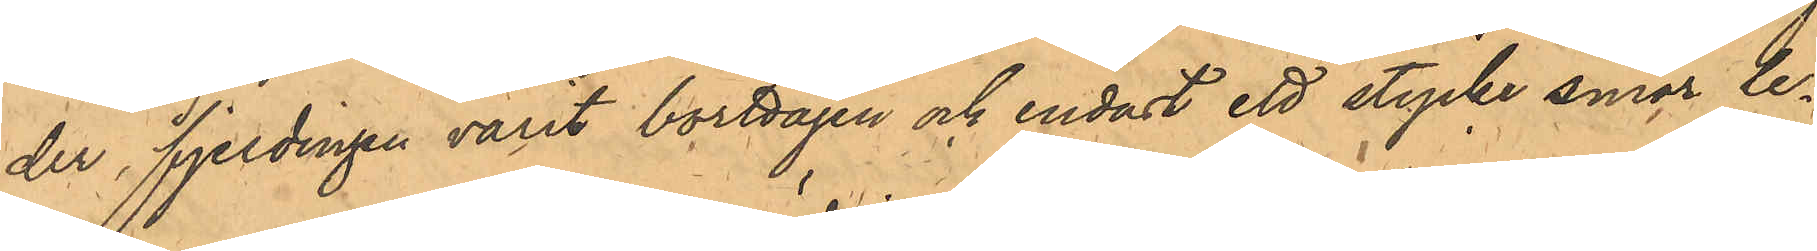der, fjerdingen varit borttagen och endast ett stycke smör le¬
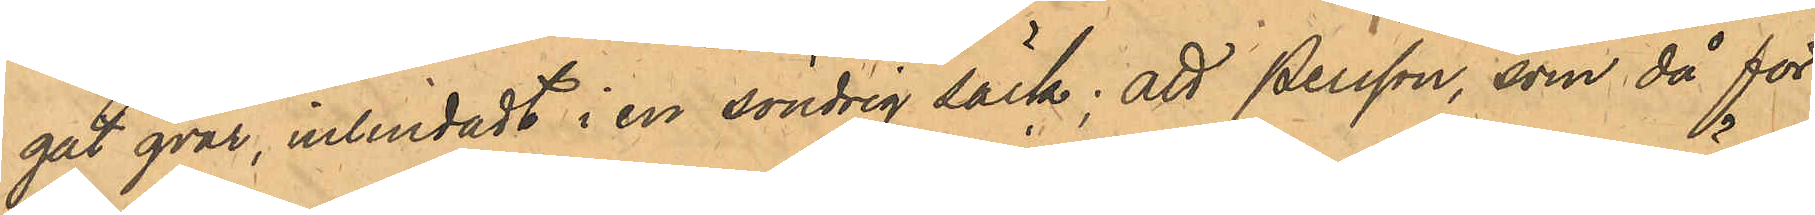gat qvar, inlindat i en söndrig säck, att Persson, som då för
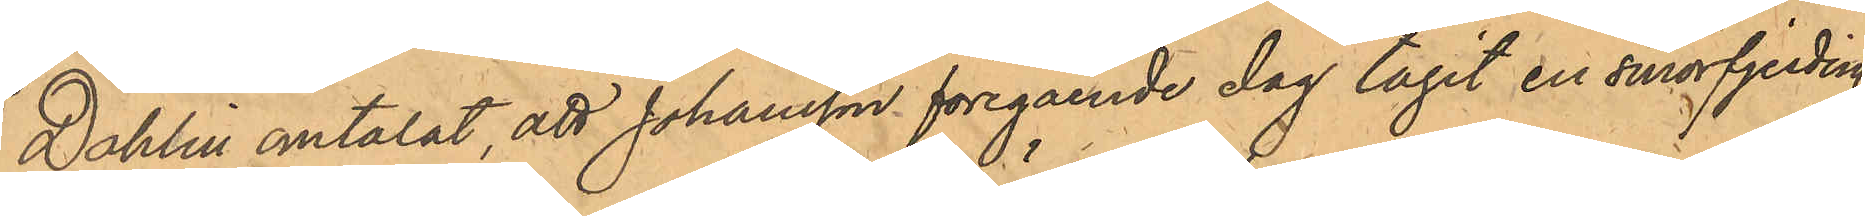Dahlin omtalat, att Johansson föregående dag tagit en smörfjerding,
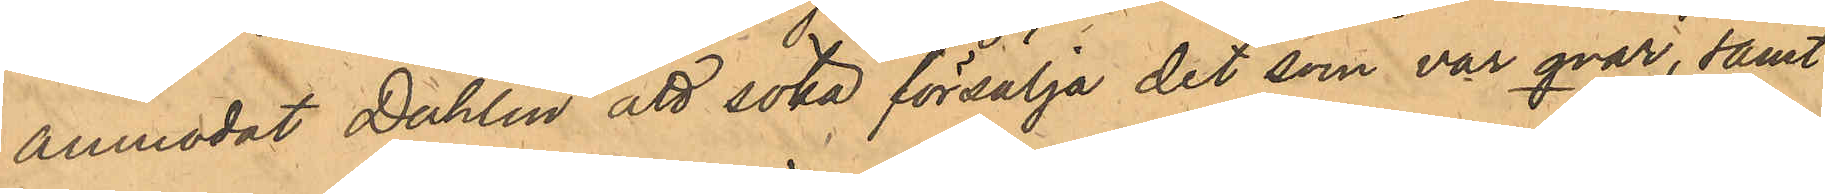anmodat Dahlin att söka försälja det som var qvar, samt
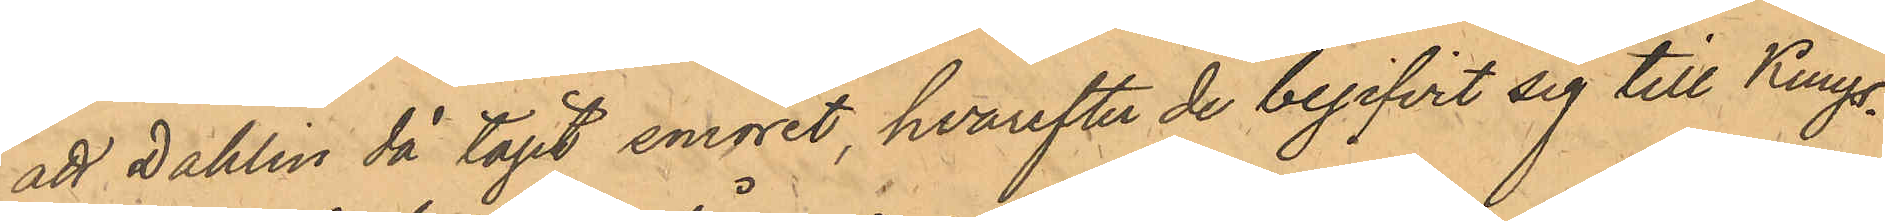att Dahlin då tagit smöret, hvarefter de begifvit sig till Kungs¬
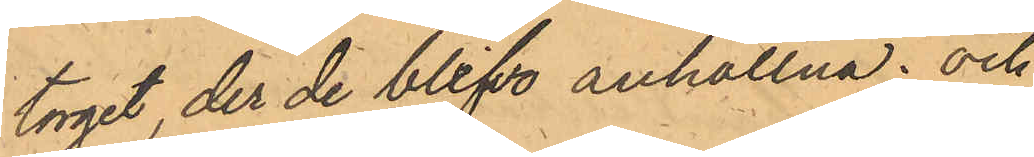torget, der de blifvit anhållna; och
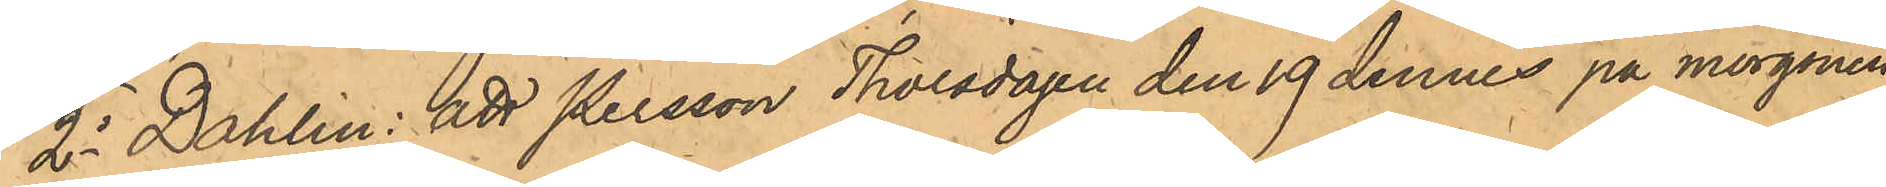2o Dahlin; att Persson Thorsdagen den 19 dennes på morgonen
